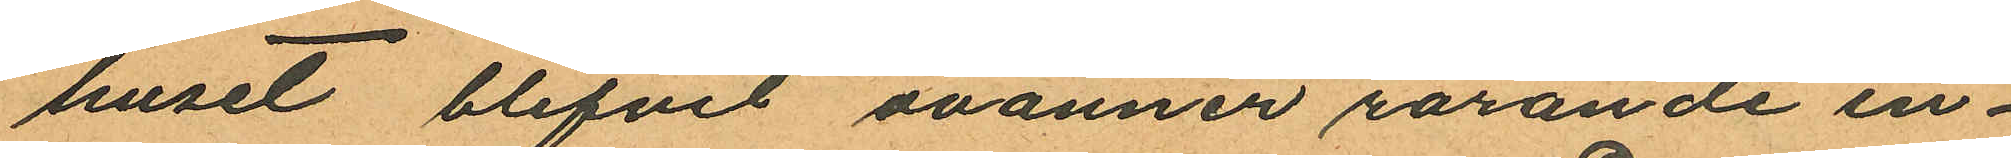huset blifvit ovänner rörande in¬
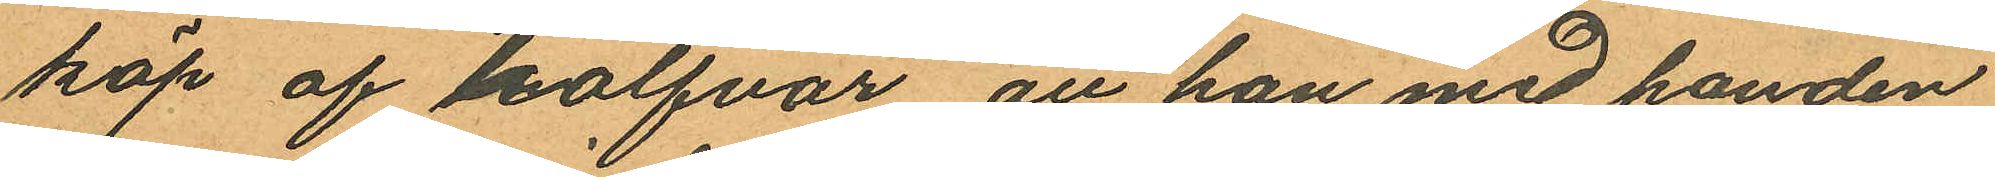köp af kalfvar, att han med handen
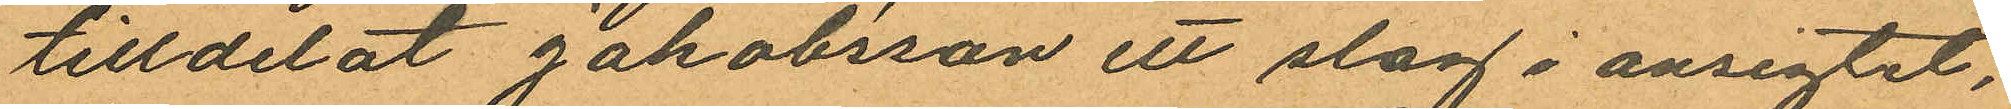tilldelat Jakobsson ett slag i ansigtet,
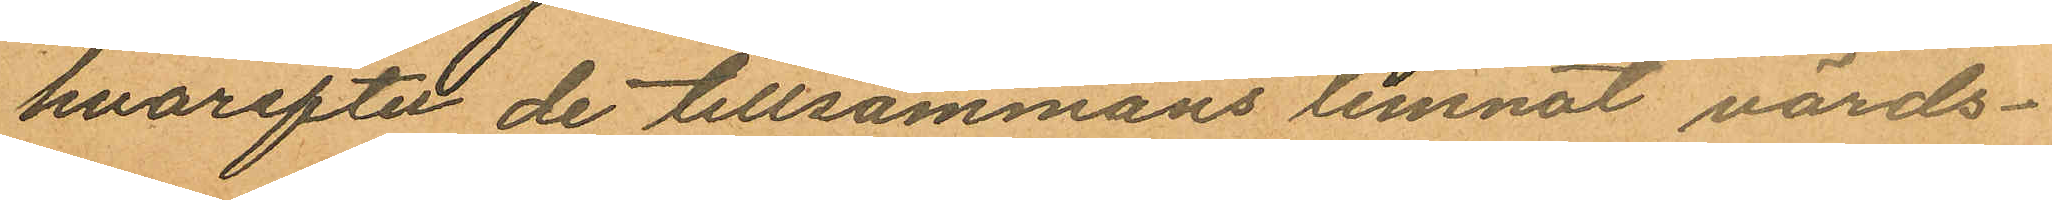hvarefter de tillsammans lemnat värds¬
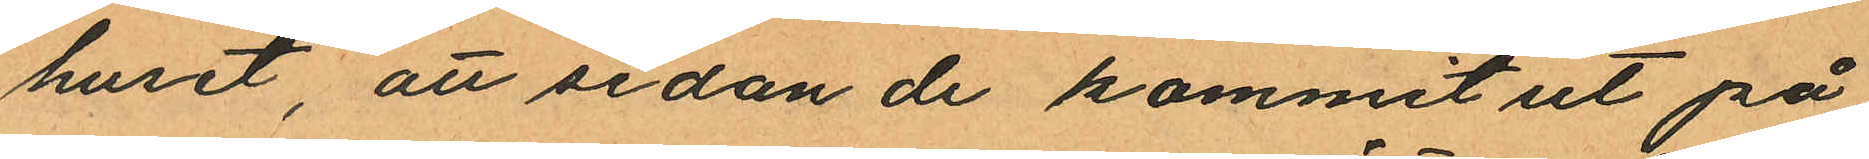huset, att sedan de kommit ut på
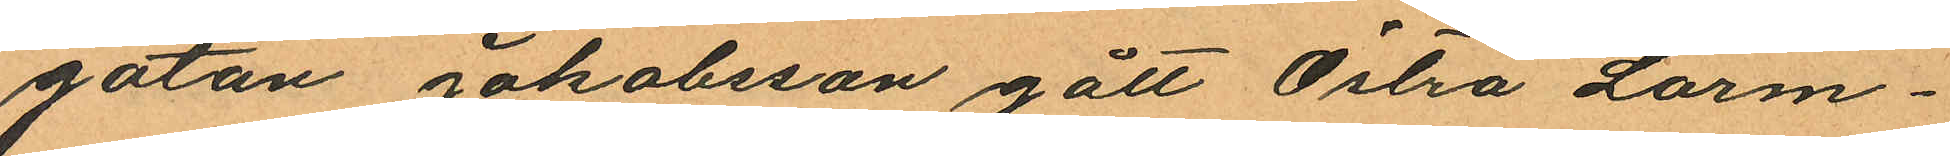gatan Jakobsson gått Östra Larm¬
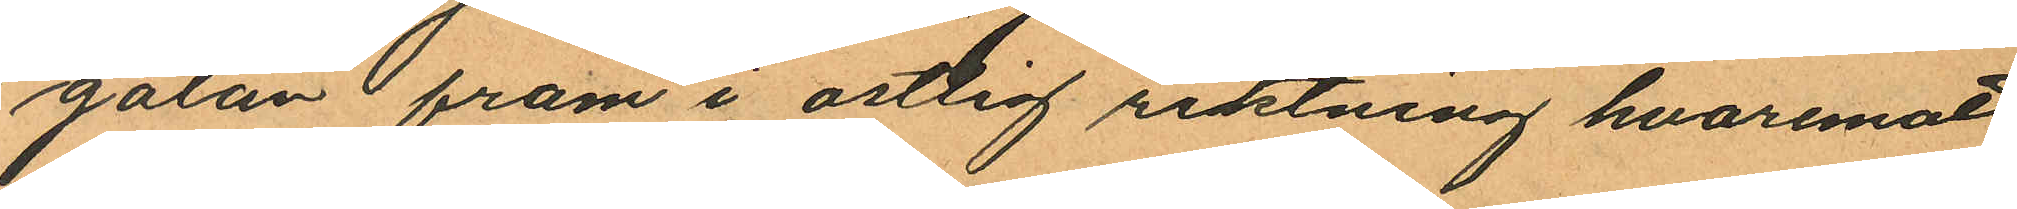gatan fram i ostlig riktning hvaremot
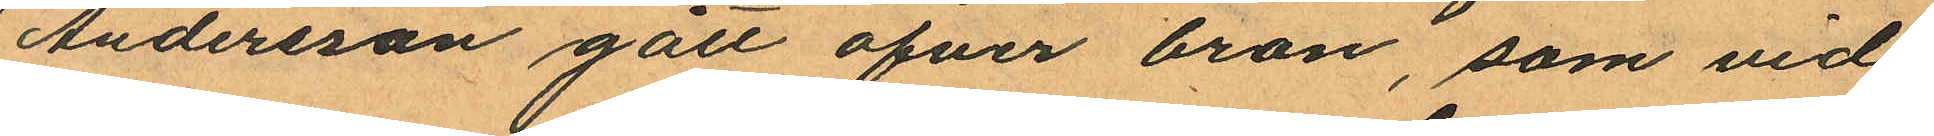Andersson gått ofver bron, som vid
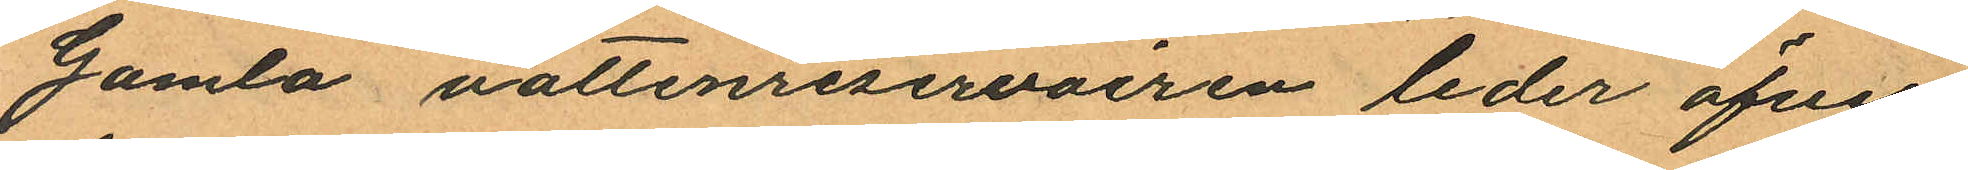Gamla vattenreservoiren leder öfver
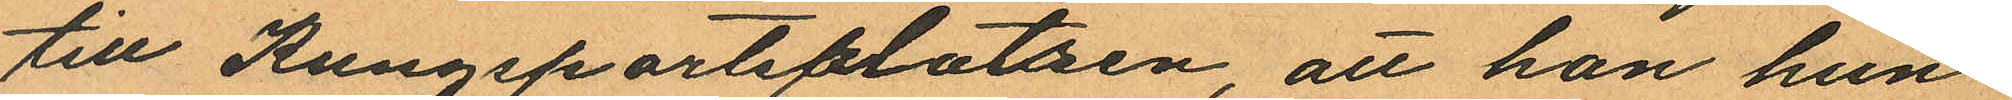till Kungsportsplatsen, att han hun¬
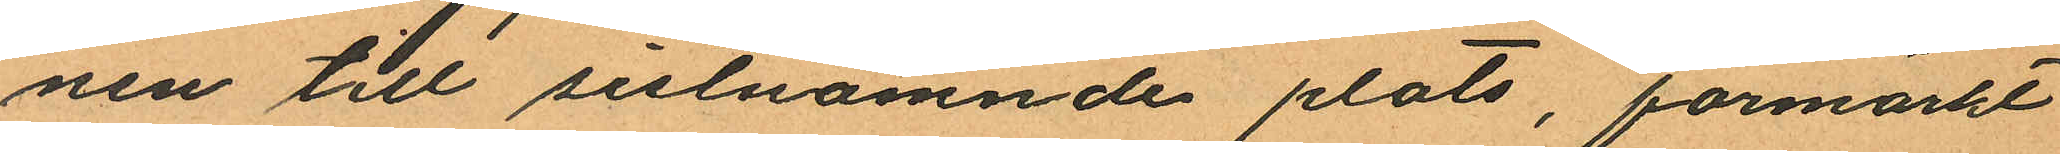nen till sistnämnde plats, förmärkt
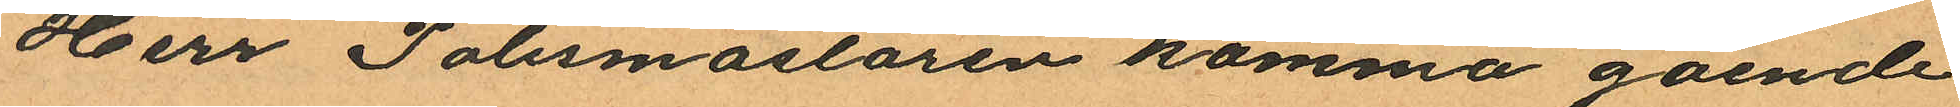Herr Polismästaren komma gående
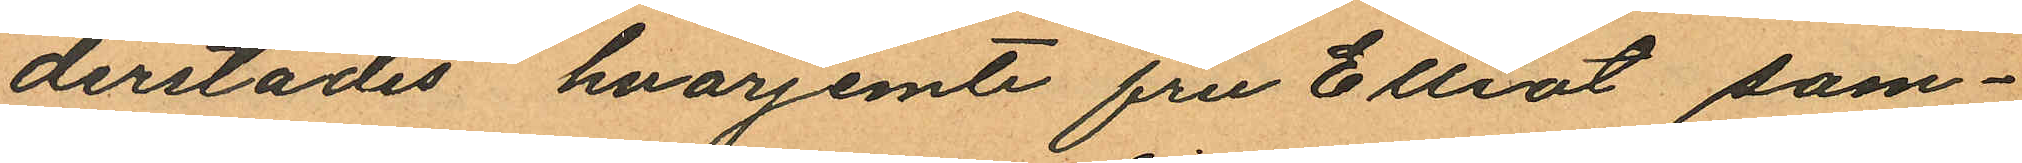derstädes, hvarjemte fru Elliot sam¬
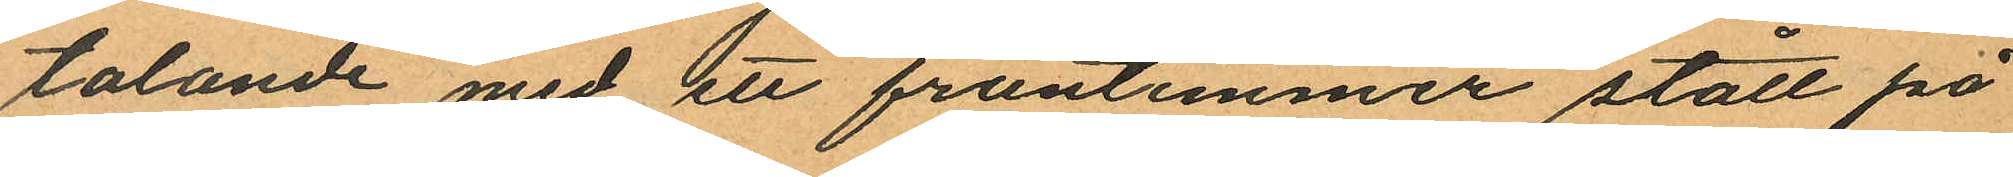talande med ett fruntimmer stått på
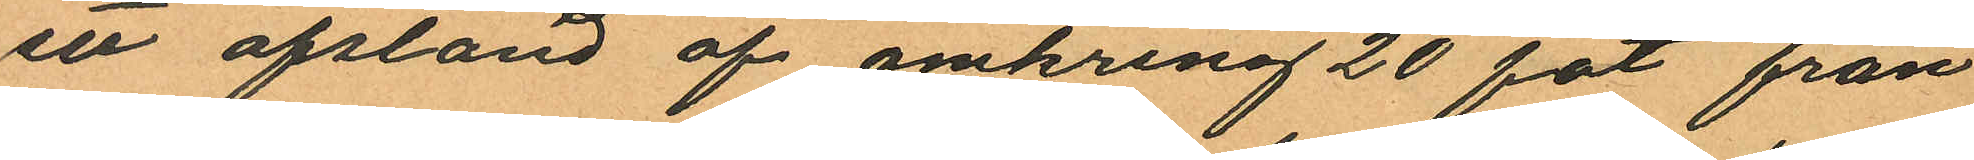en afstånd af omkring 20 fot från
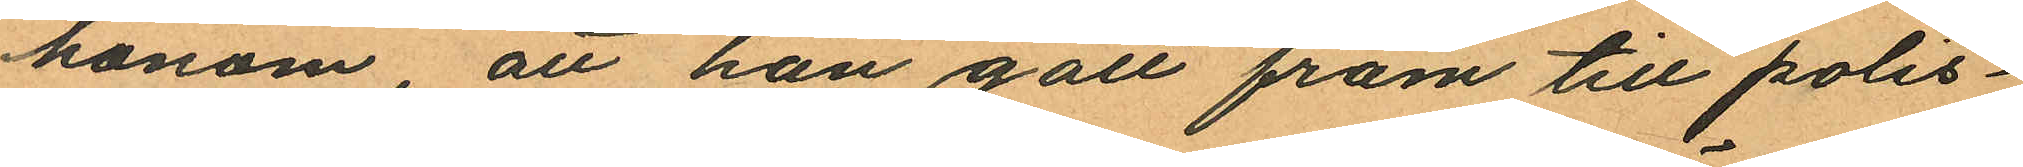honom, att han gått fram till polis¬
